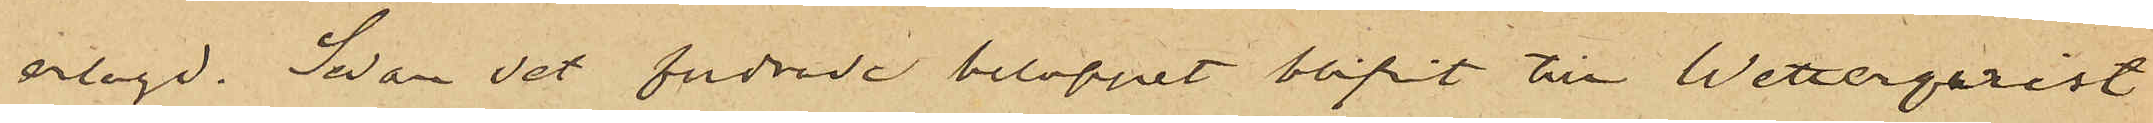erlagd. Sedan det fordrade beloppet blifvit till Wetterqvist
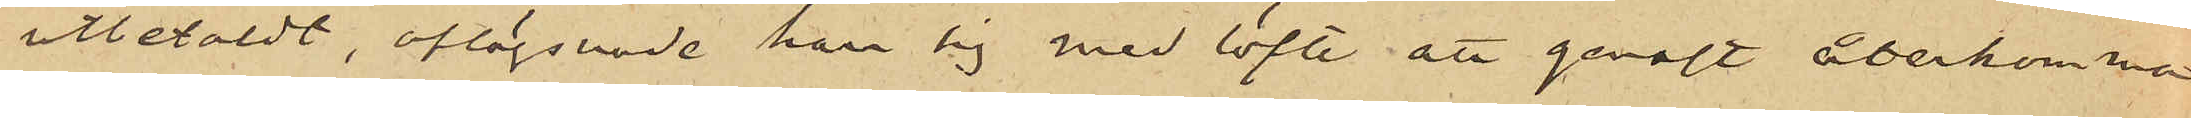utbetaldt, aflägsnade han sig med löfte att genast återkomma
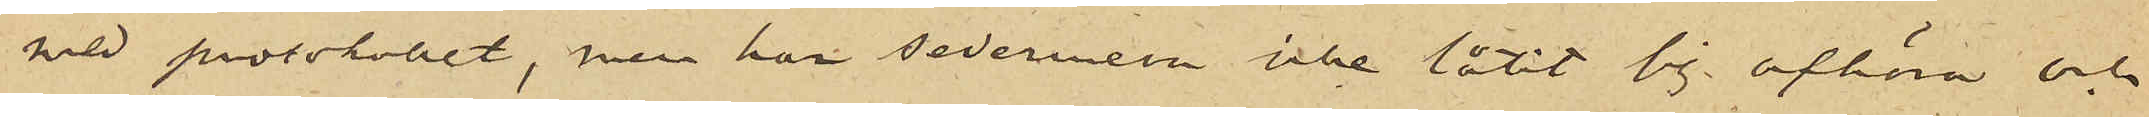med protokollet, men har sedermera icke låtit sig afhöra och
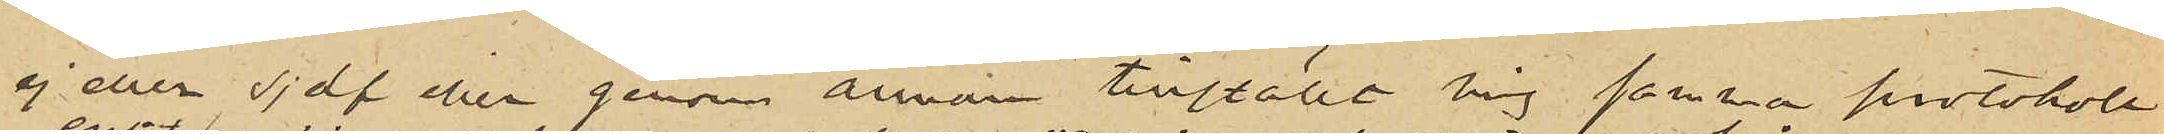ej eller sjelf eller genom annan tillställt mig samma protokoll,
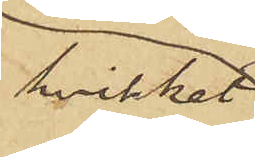hvilket
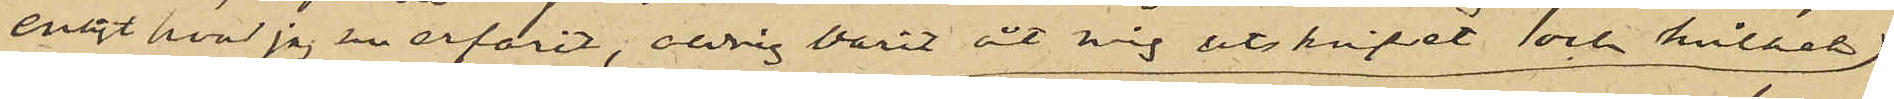enligt hvad jag nu erfarit, aldrig varit åt mig utskrifvet och hvilket
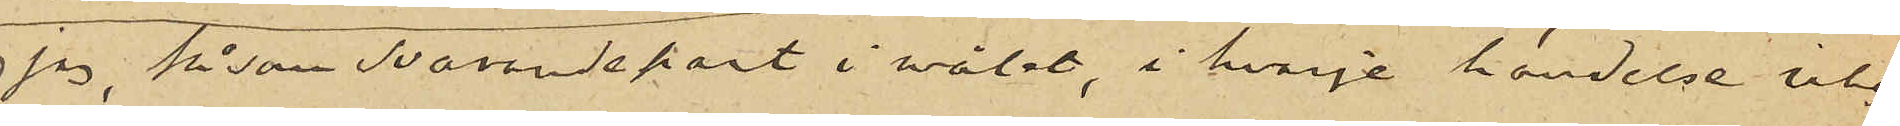 jag, såsom svarandepart i målet,  i hvarje händelse icke
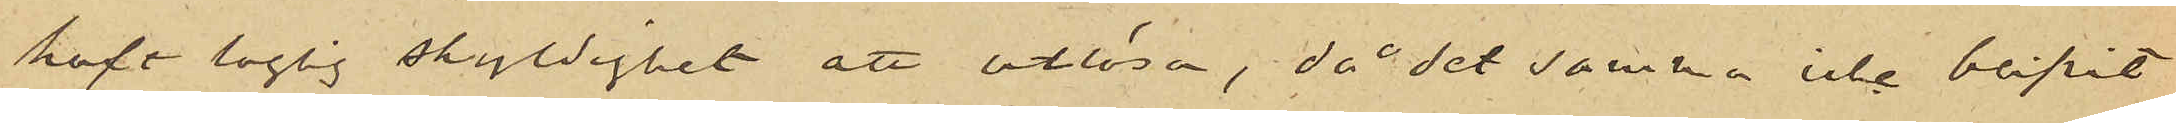haft laglig skyldighet att utlösa, då detsamma icke blifvit
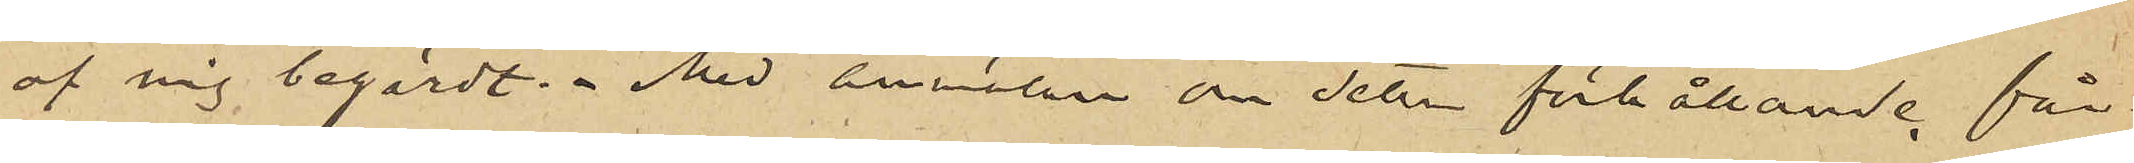af mig begärdt.  Med anmälan om detta förhållande får
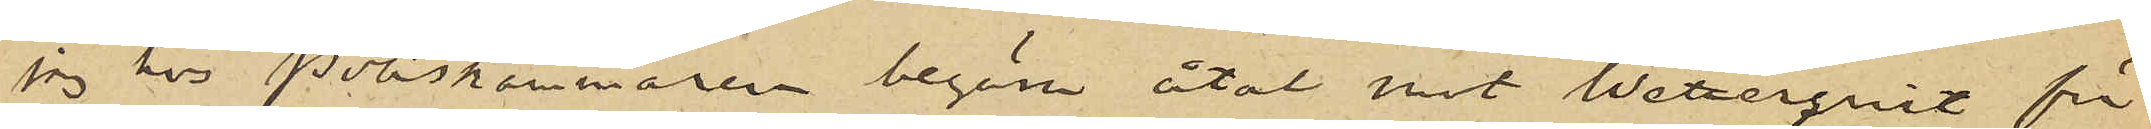jag hos Poliskammaren begära åtal mot Wetterqvist för
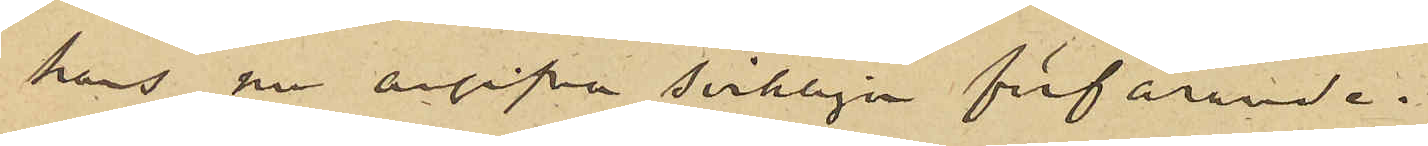hans nu angifna svikliga förfarande.
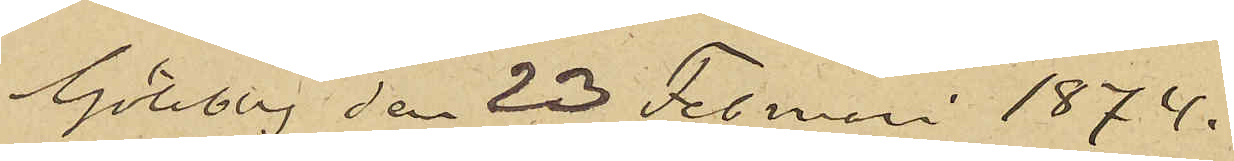Göteborg den 23 Februari 1874.
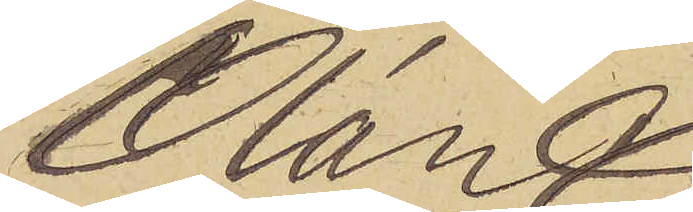Olán
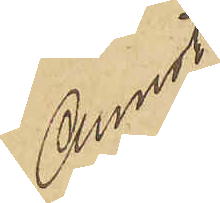Annot
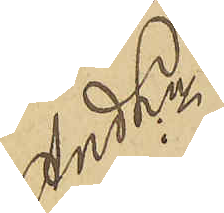And Ln
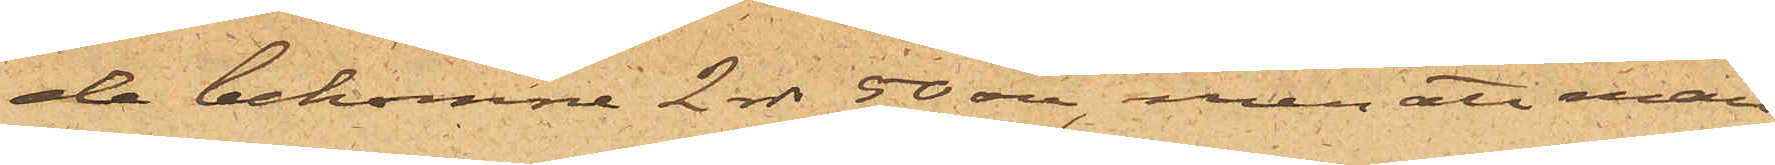de bekomne 2 rdr 50 öre, men att man
